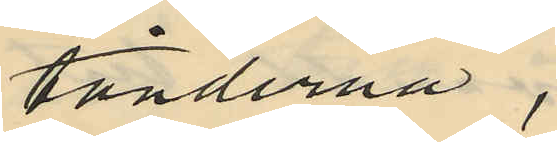tänderna,
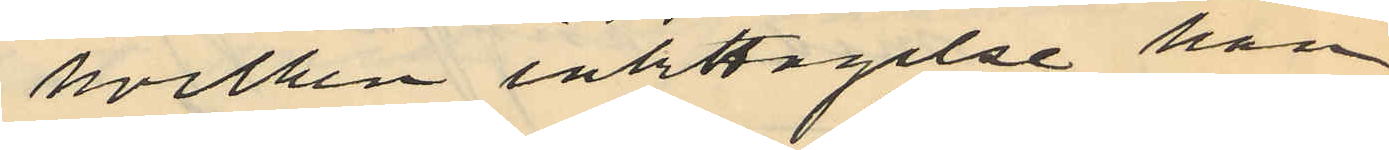hvilken iakttagelse han
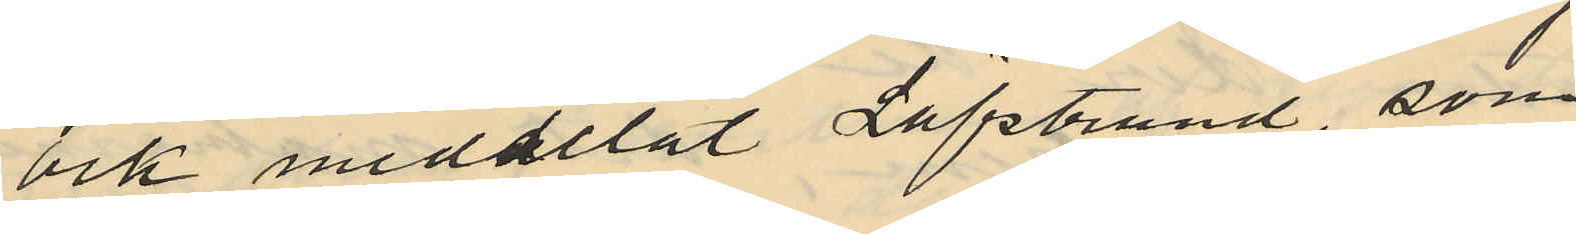ock meddelat Löfstrand, som
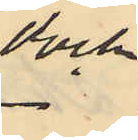dock
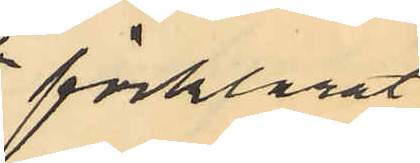förklarat
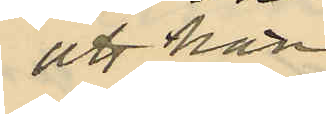att han
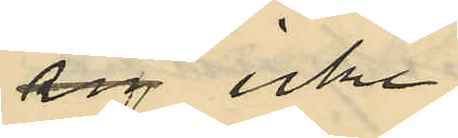sig icke
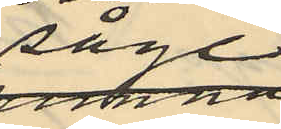såge
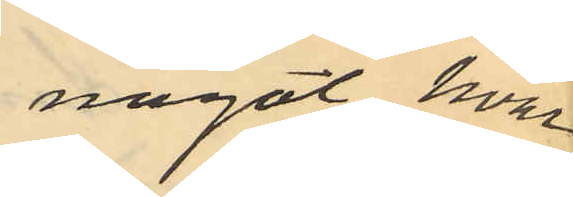något, hvar
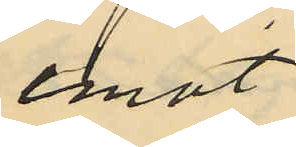emot
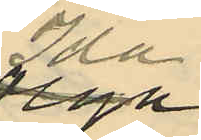Ida
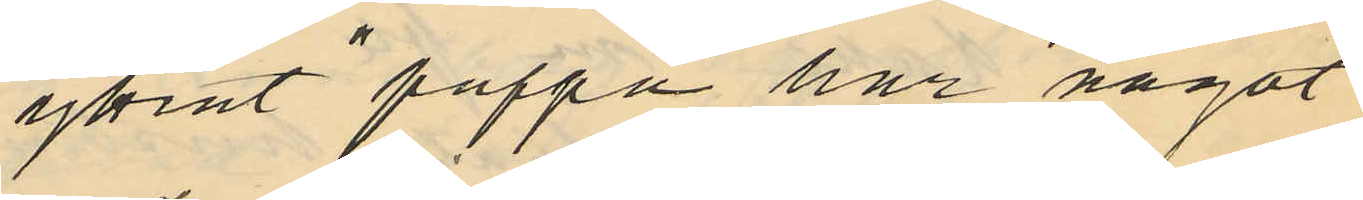yttrat "pappa har något
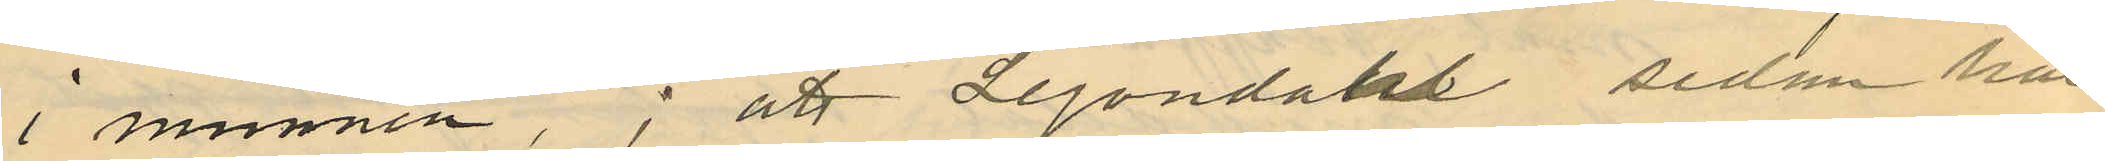i munnen"; att Lejondahl sedan har
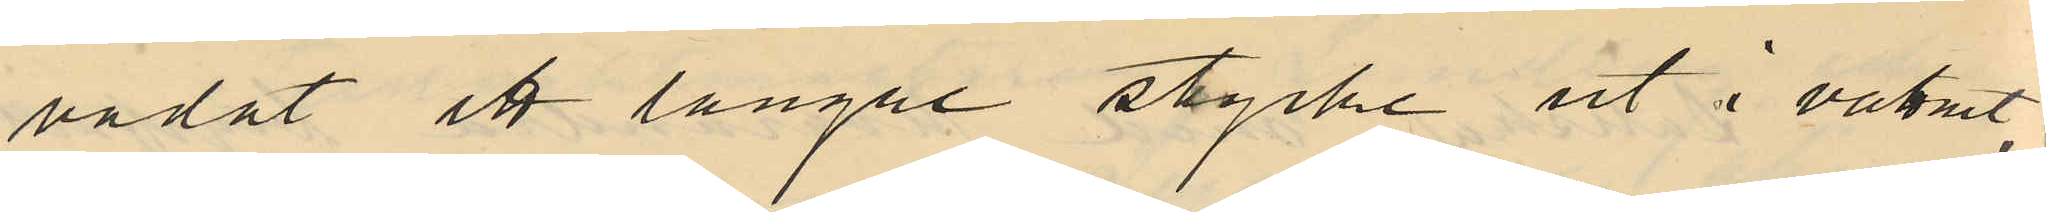vadat ett längre stycke ut i vattnet,
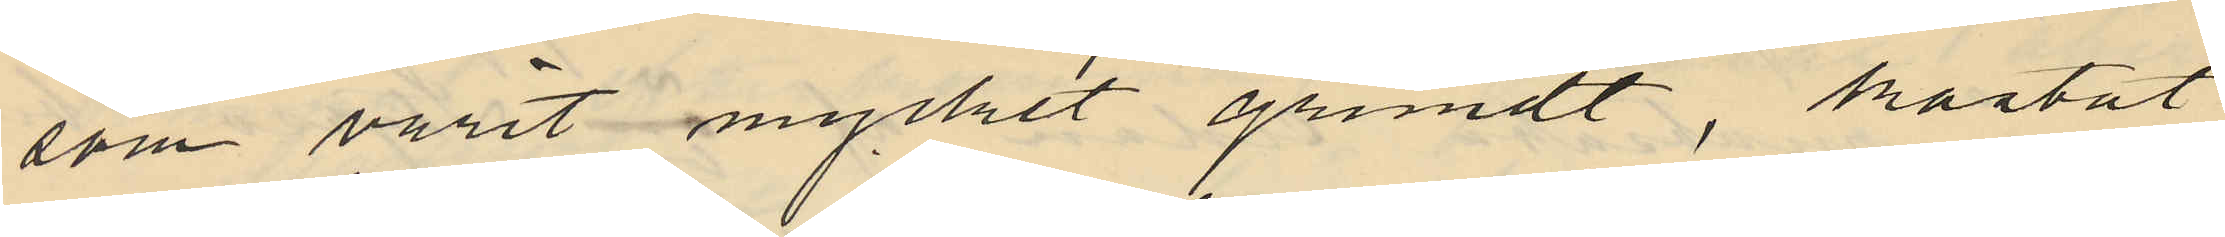som varit mycket grundt, kastat
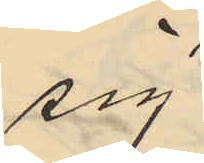sig
